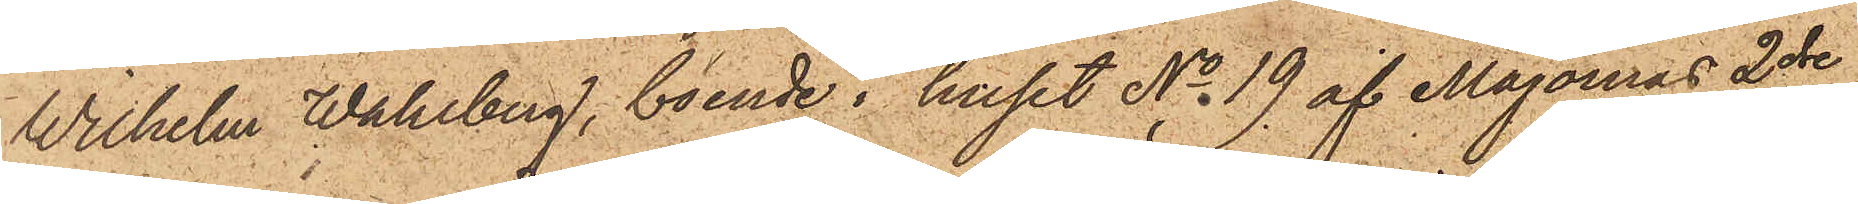Wilhelm Wahlberg, boende i huset No 19 af Majornas 2dre
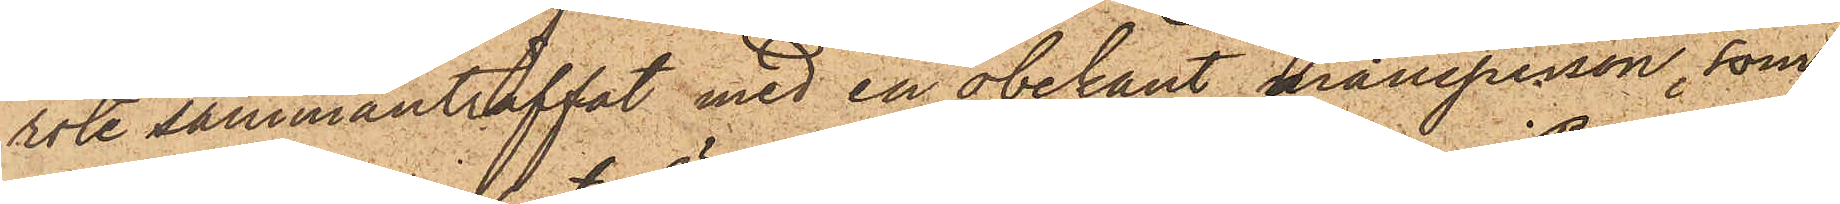rote sammanträffat med en obekant mansperson, som
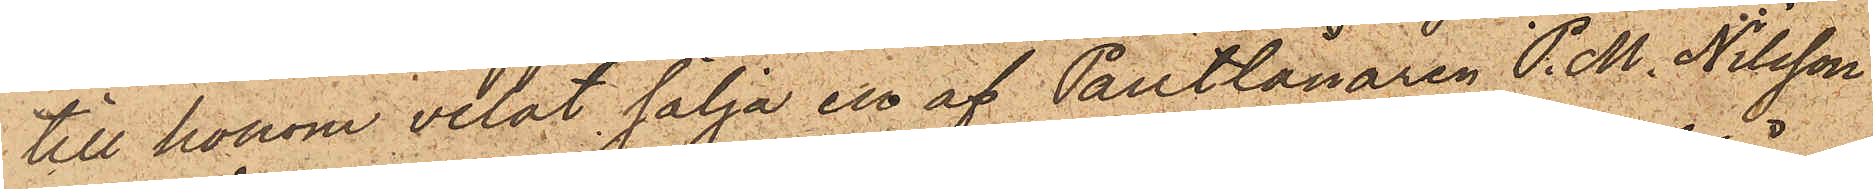till honom velat sälja en af Pantlånaren P. M. Nilsson
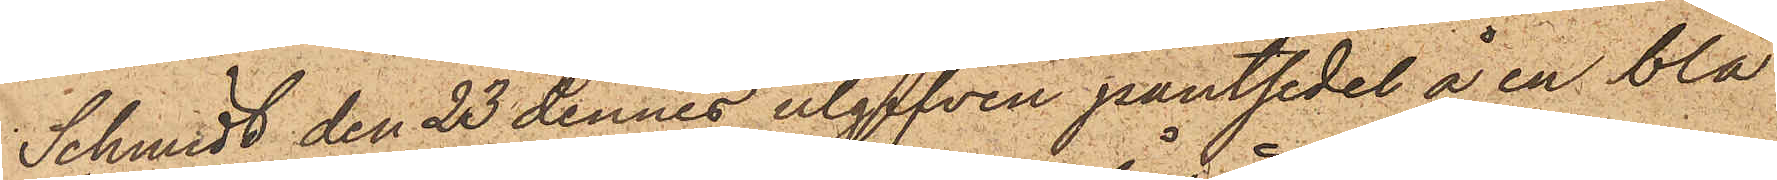Schmidt den 23 dennes utgifven pantsedel å en blå
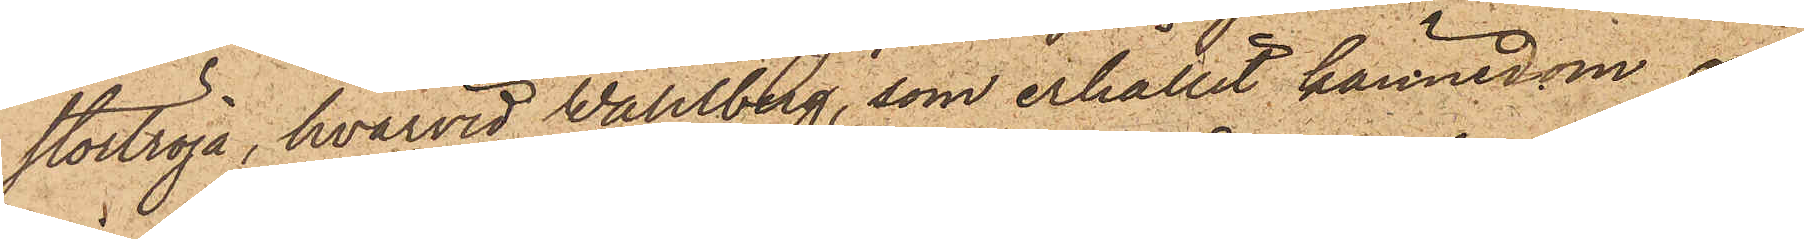stortröja, hvarvid Wahlberg, som erhållit kännedom om
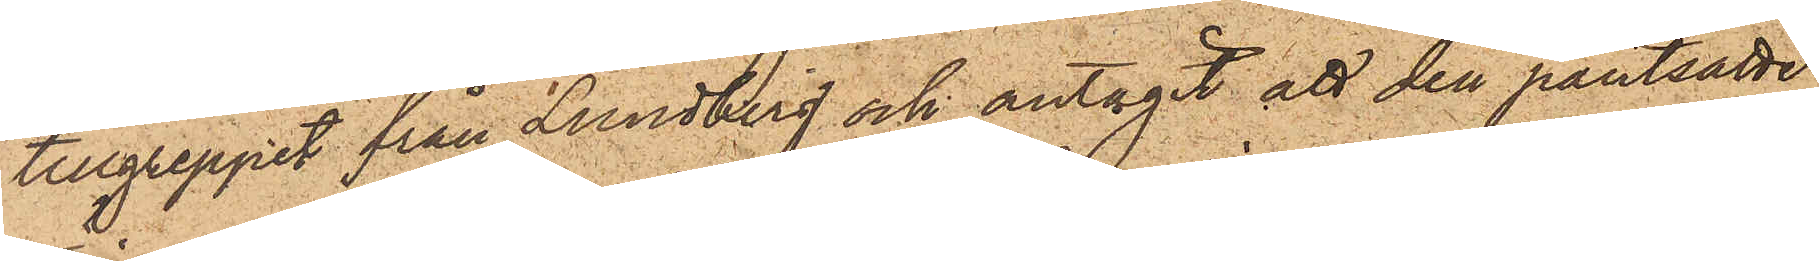tillgreppet från Lundberg och antagit att den pantsatte
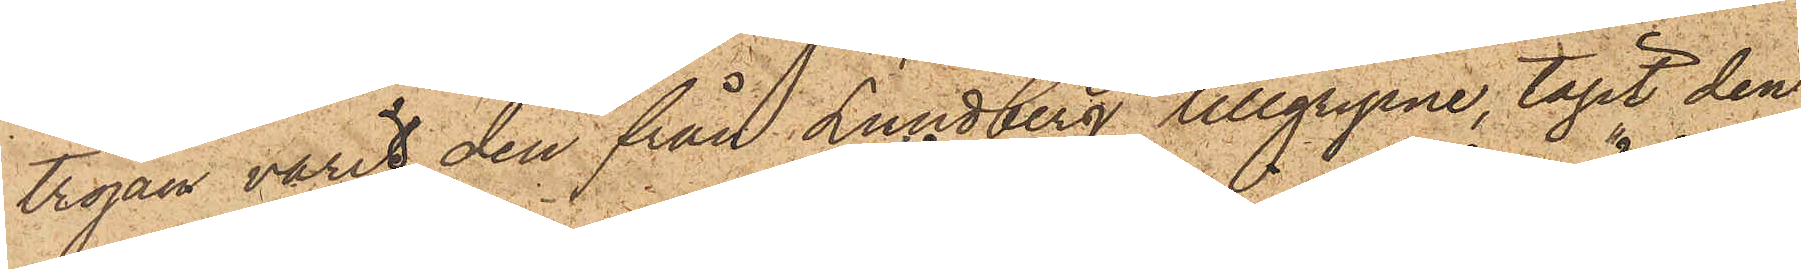tröjan varit den från Lundberg tillgripne, tagit den
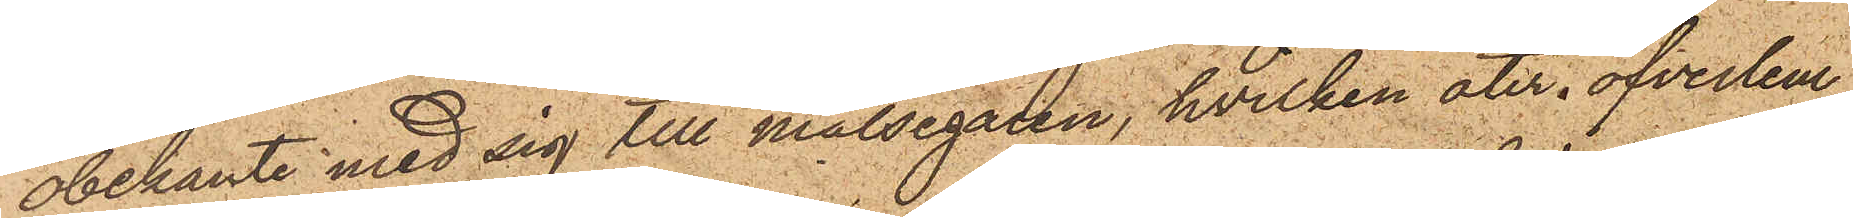obekante med sig till målsegaren, hvilken åter öfverlem¬
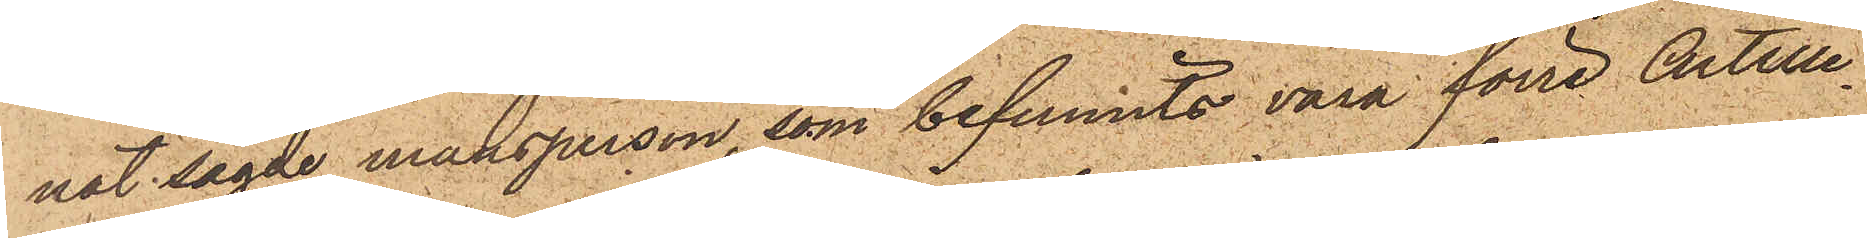nat sagde mansperson, som befunnits vara förre Artille¬
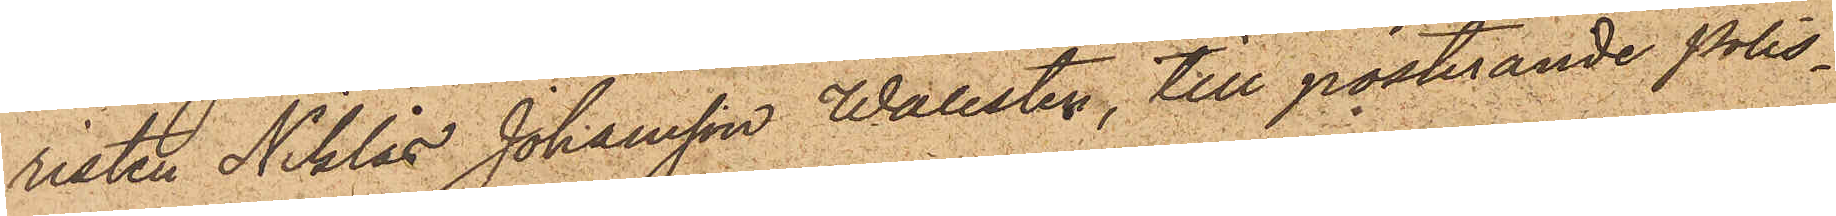risten Niklas Johansson Wallsten, till posterande Polis¬
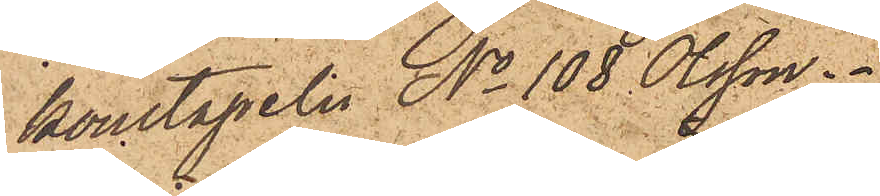konstapeln No 108 Olsson.
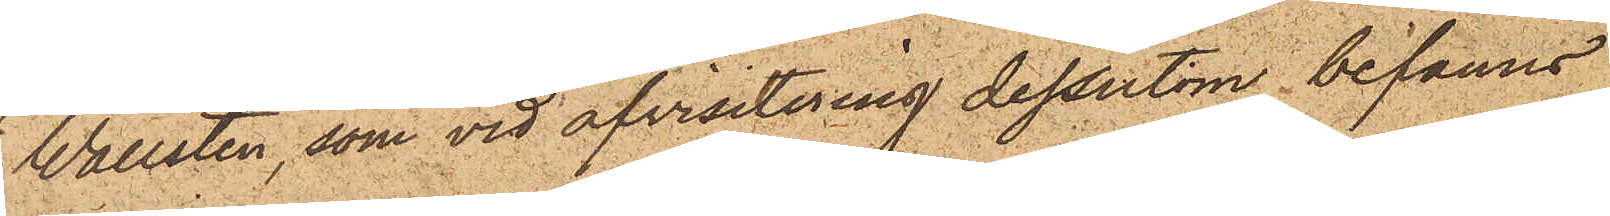Wallsten, som vid afvisitering dessutom befanns
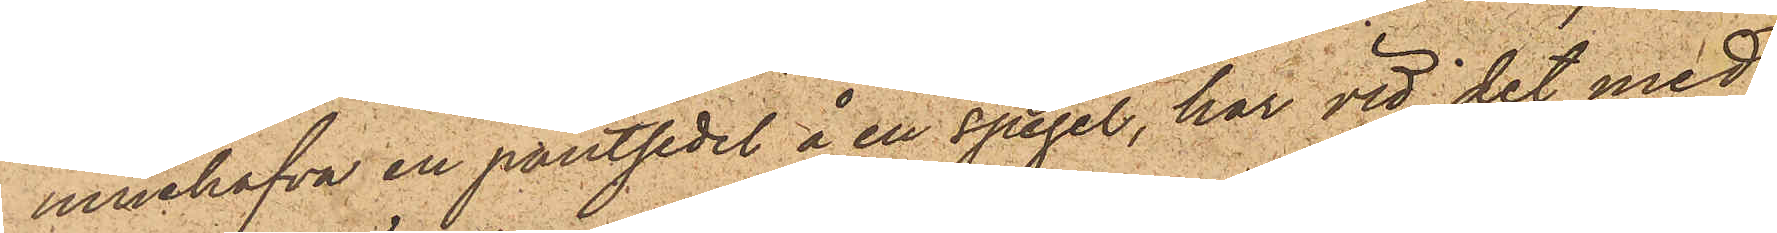innehafva en pantsedel å en spegel, har vid det med
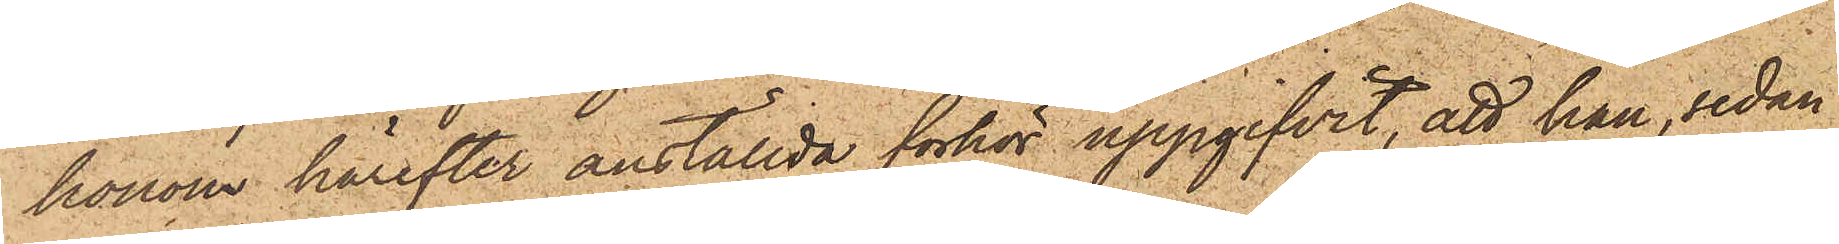honom härefter anställda förhör uppgifvit, att han, sedan
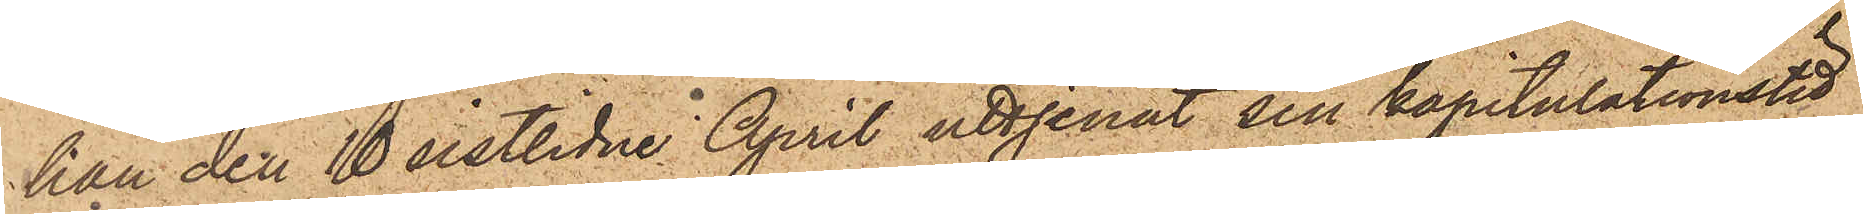han den 10 sistlidne April uttjenat sin kapitulationstid
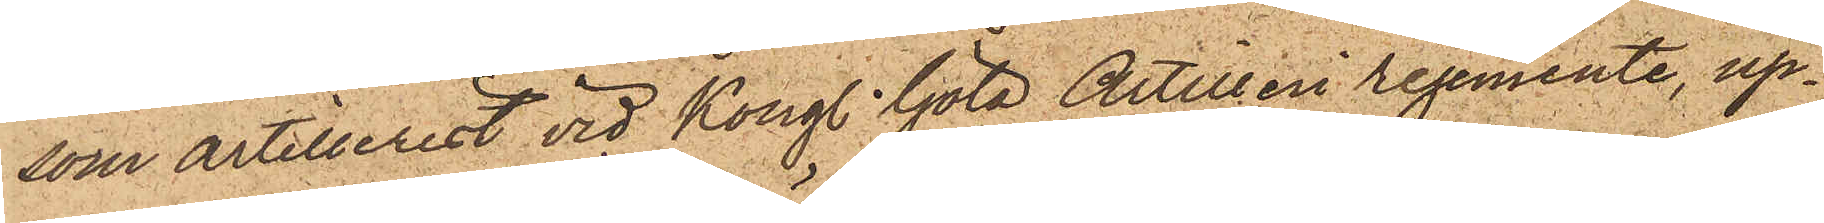som artillerist vid Kongl. Göta Artilleri regemente, up¬
